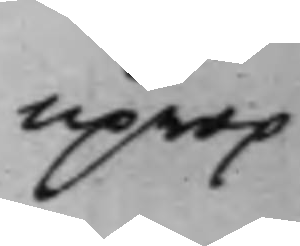uprop
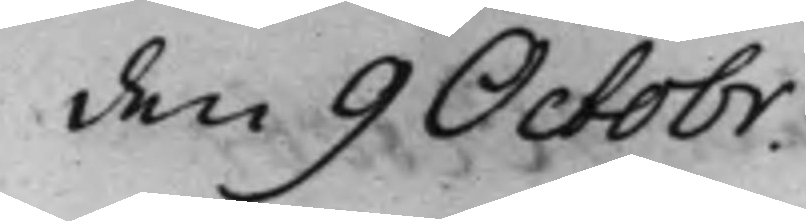den 9 Octobr.
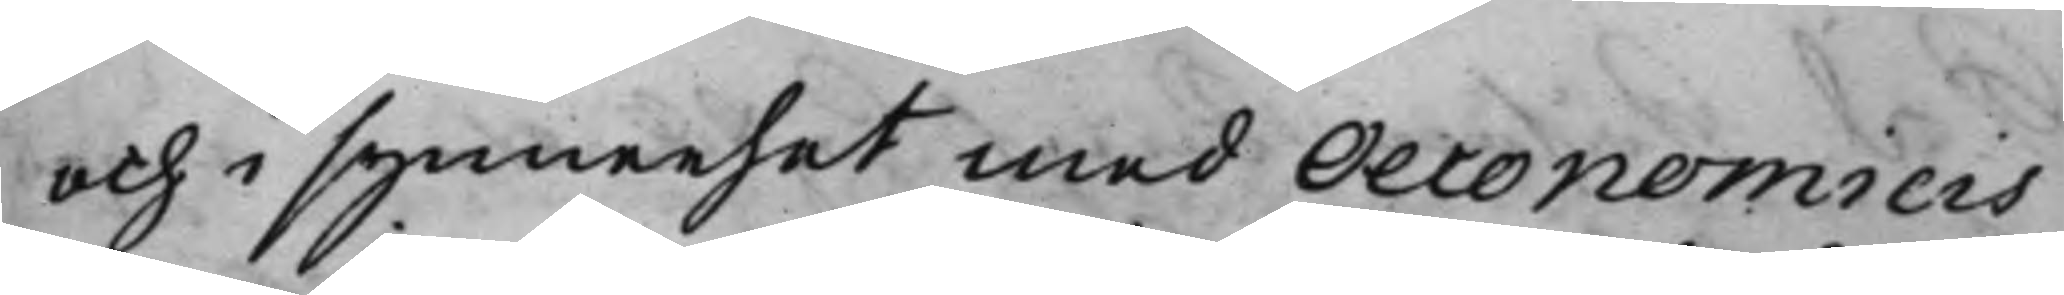och i synnerhet med Oeconomicis
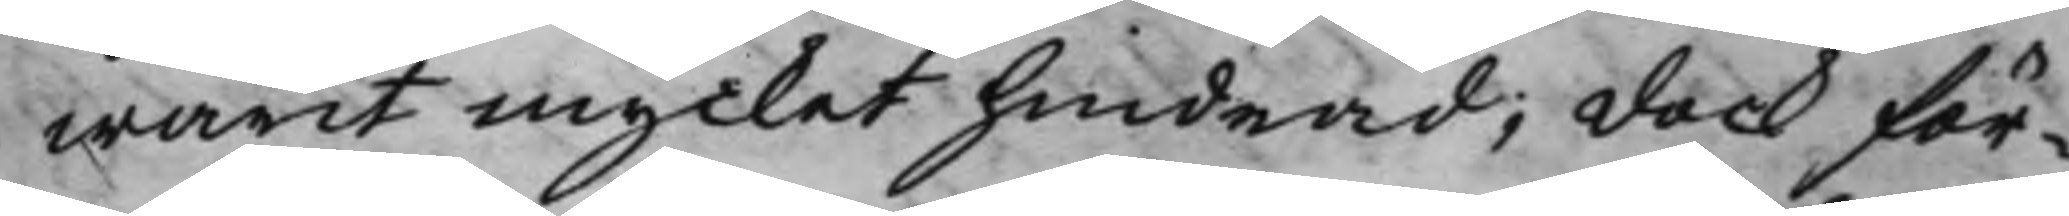warit mycket hindrad; dock för¬
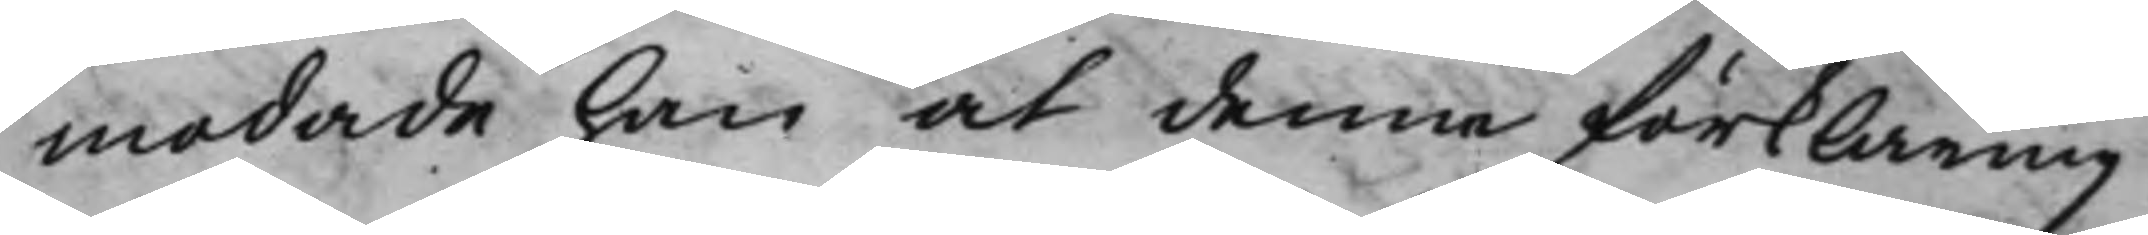modade han at denne förklaring
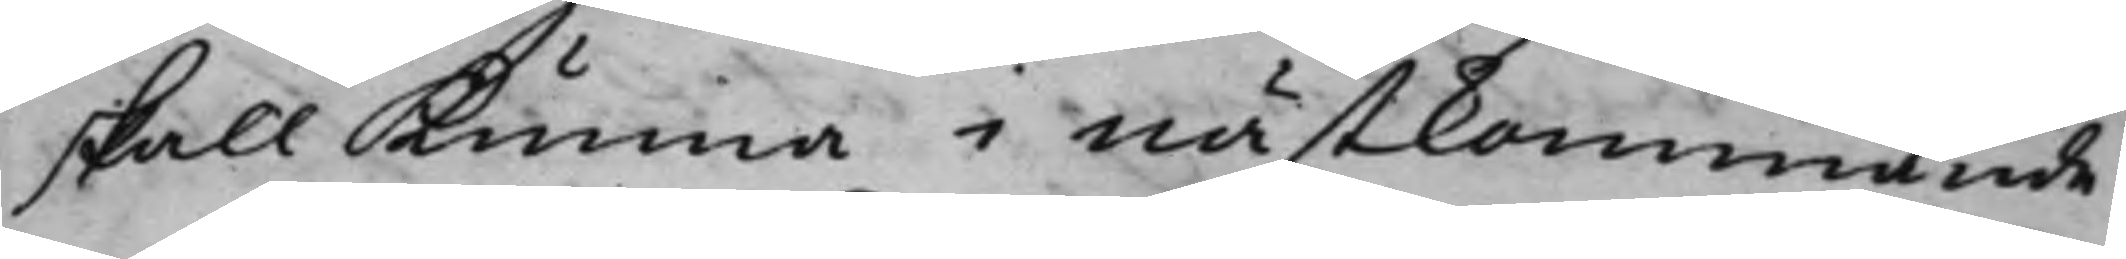skall kunna i nästkommande
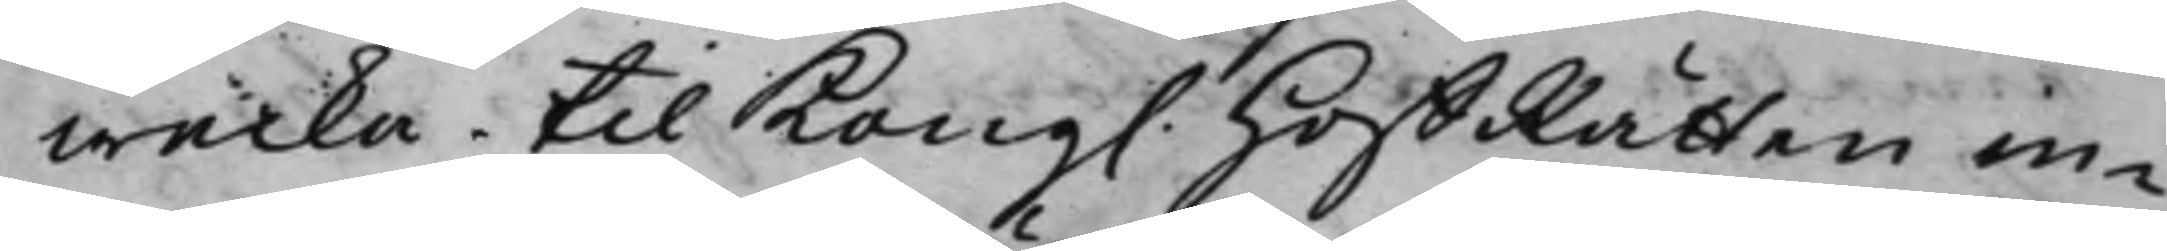wecka til Kong. HoffRätten in¬
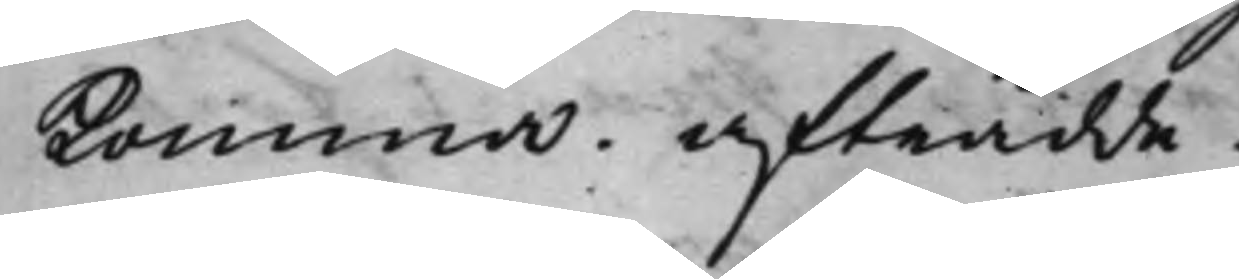komma. Afträdde.
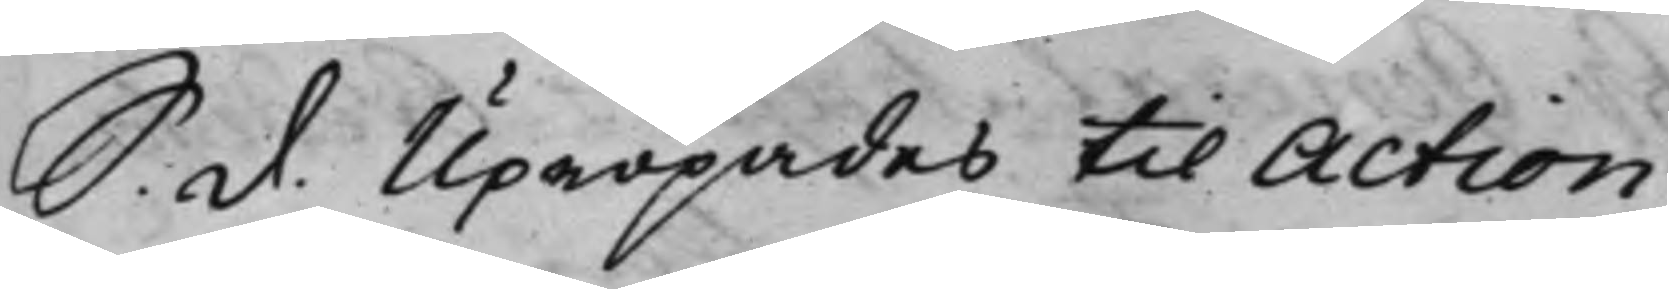S. d. Upropades till Action
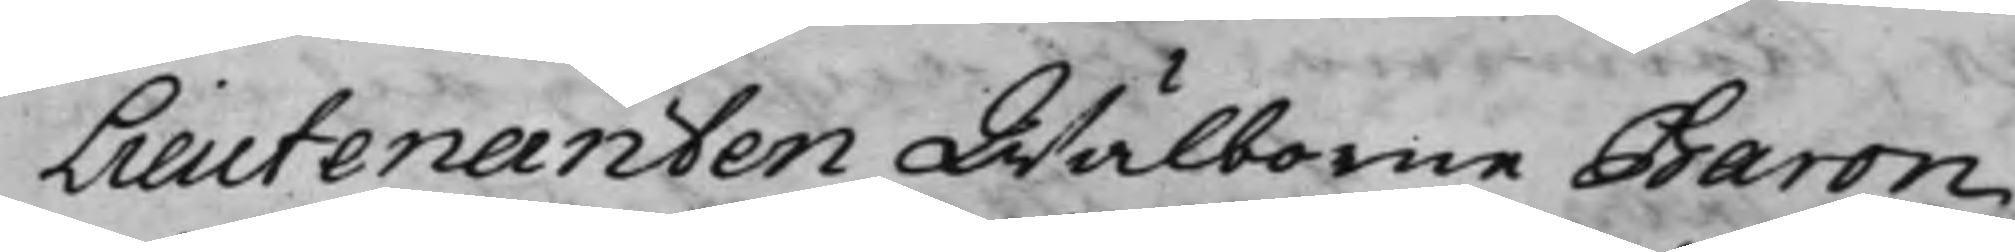Lieutenanten Wälborne Baron
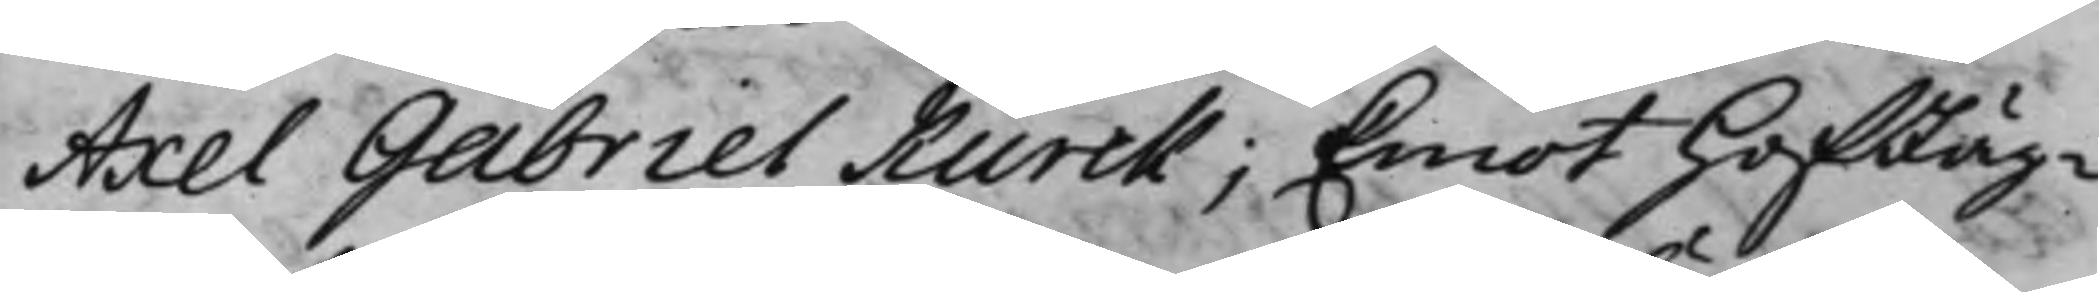Axel Gabriel Kurck; Emot HofJäg¬
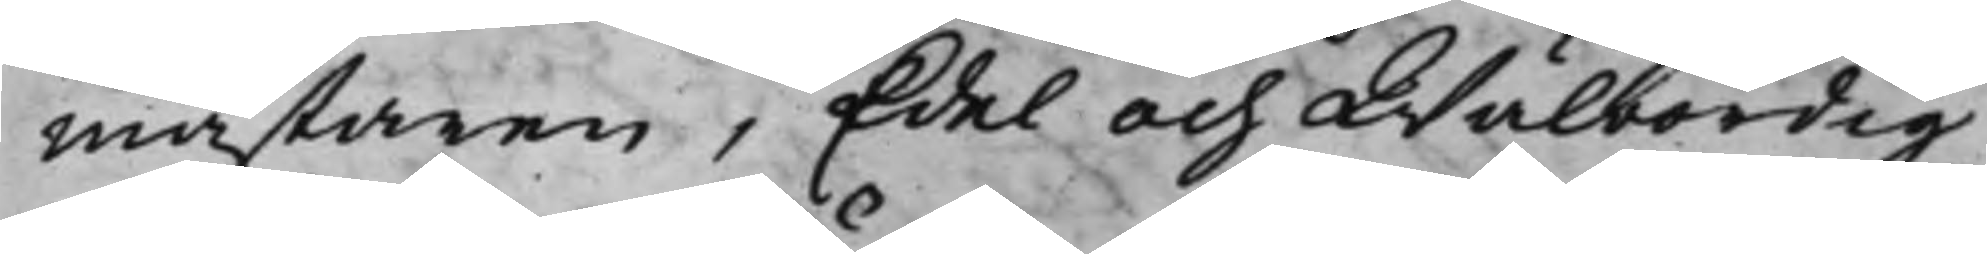mästaren, Edel och Wälbördig
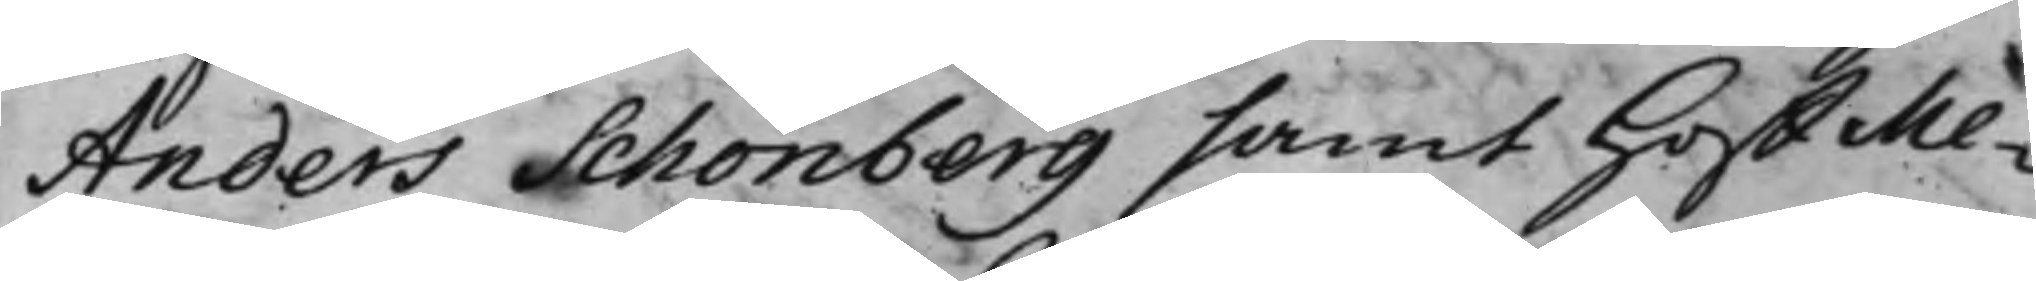Anders Schönberg samt HoffMe¬
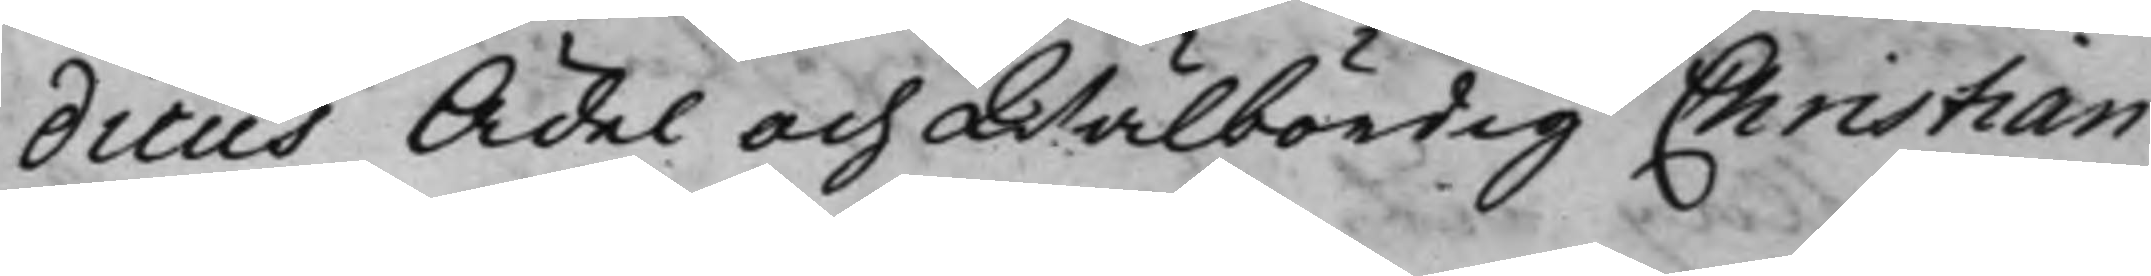dicus Ädel och Wälbördig Christian
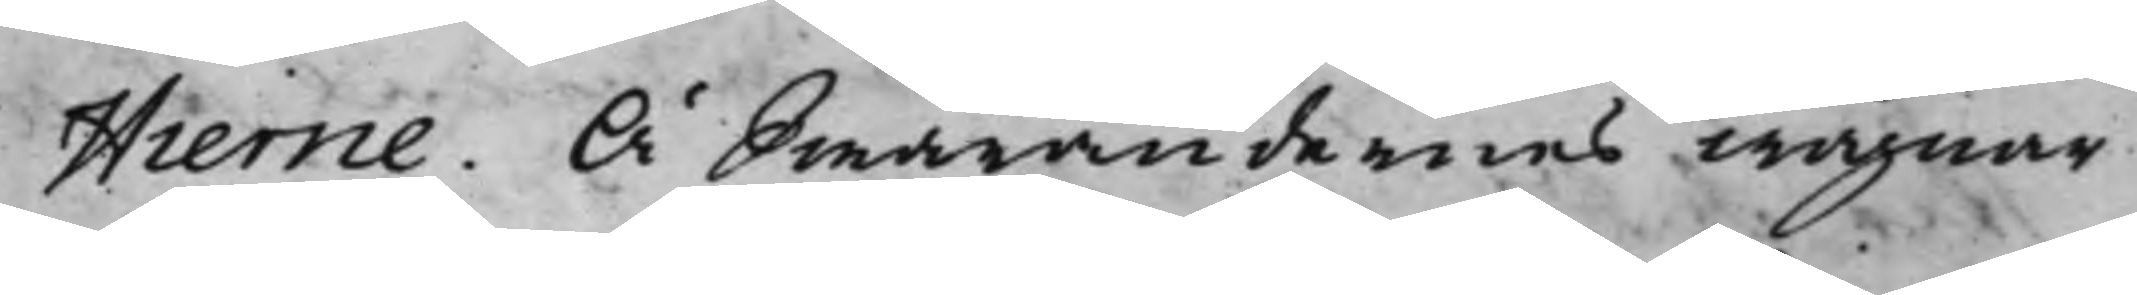Hierne. Å Swarandernes wägnar
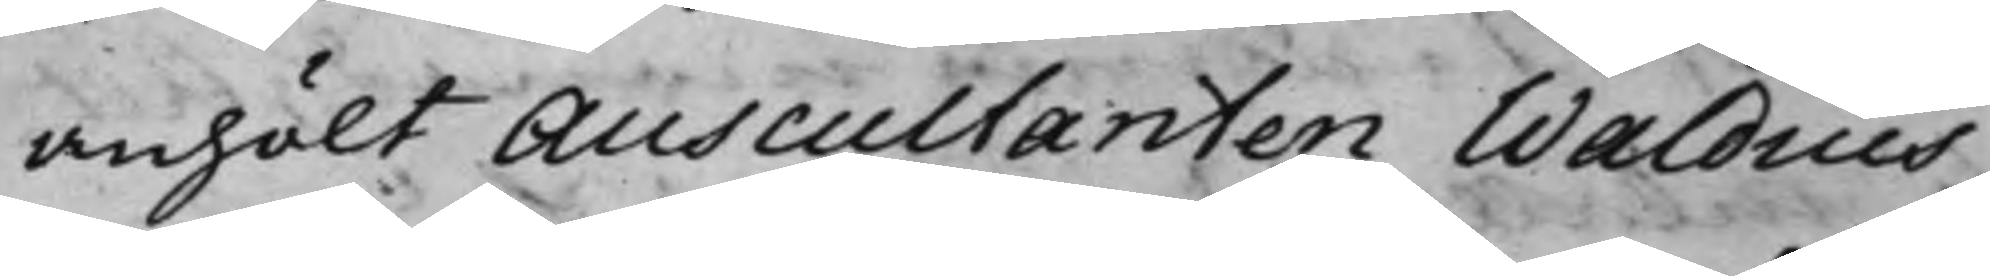anhölt Auscultanten Waldius
